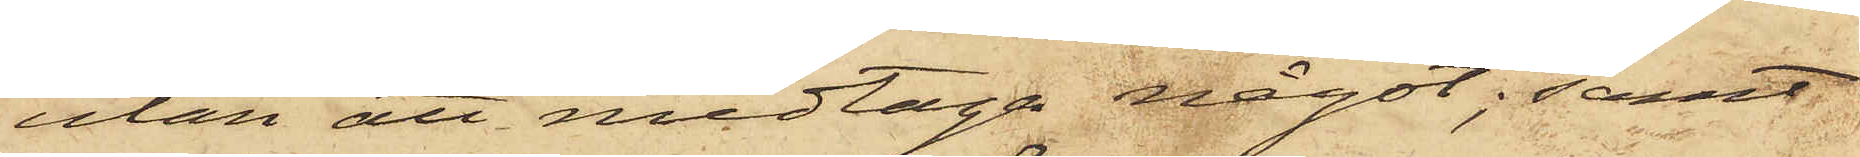utan att medtaga något; samt
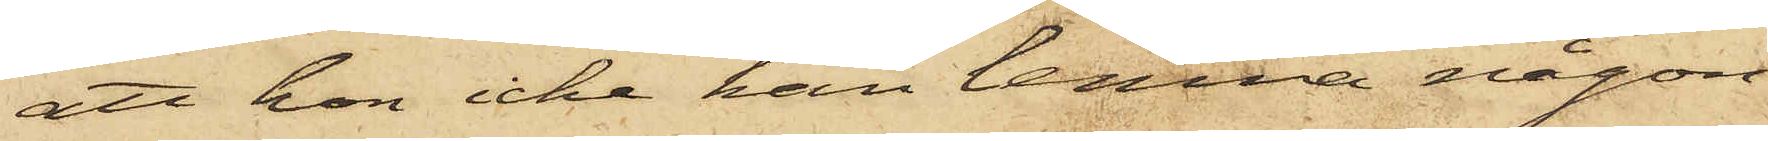att han icke kan lemna någon
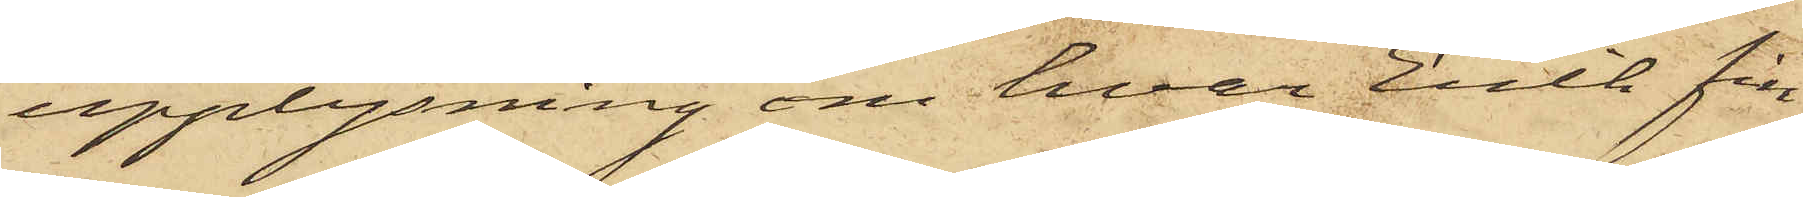upplysning om hvar Erik fin¬
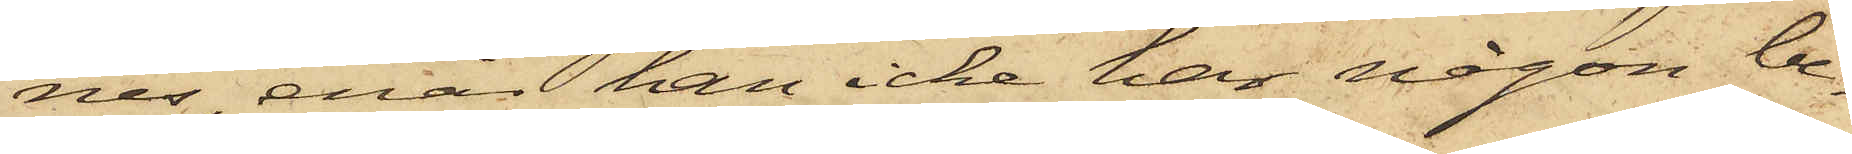nes, enär han icke har någon be¬
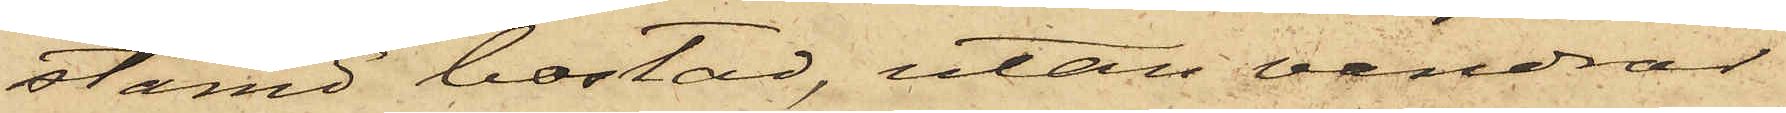stämd bostad, utan vandrar
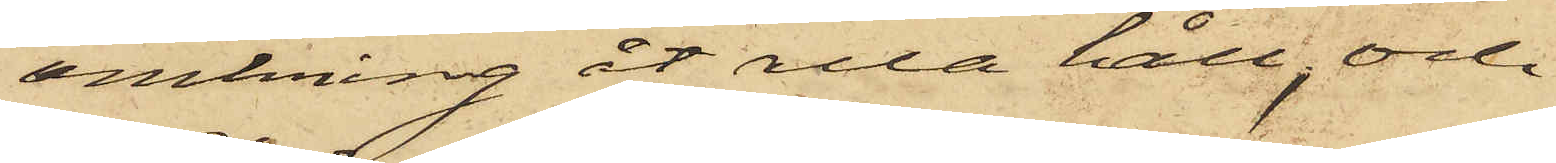omkring åt alla håll; och
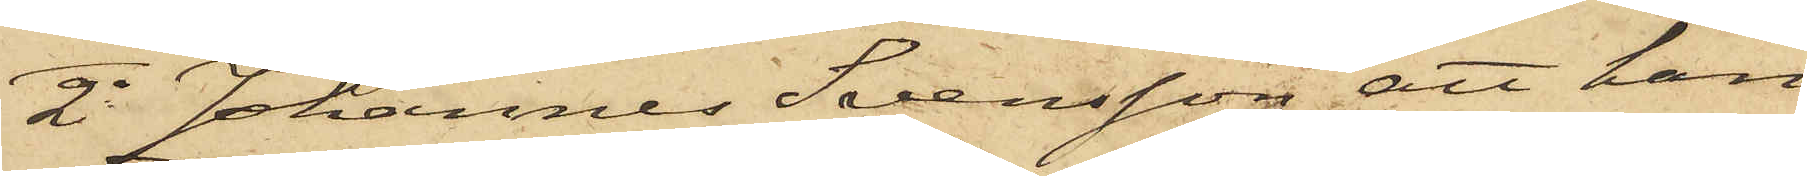2o Johannes Svensson att han
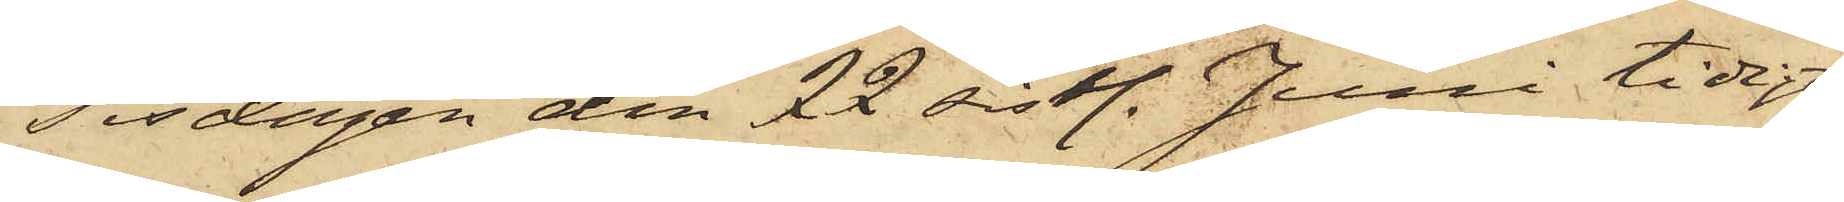Tisdagen den 22 sistl. Juni tidigt
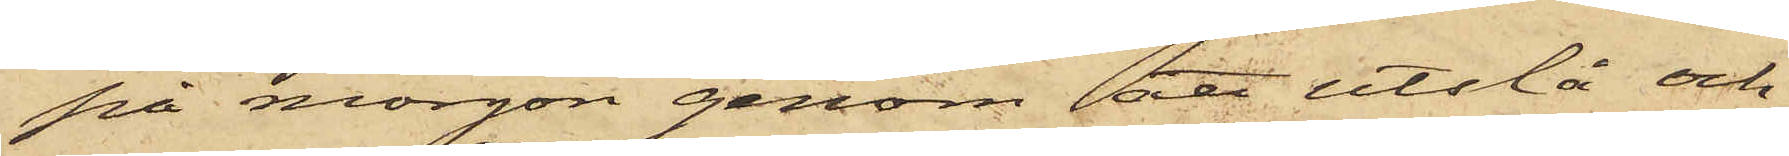på morgon genom att utslå och
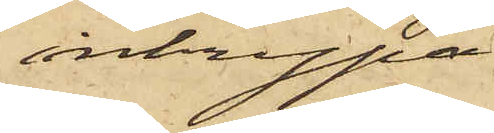inkrypa
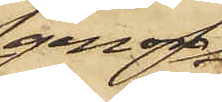genom
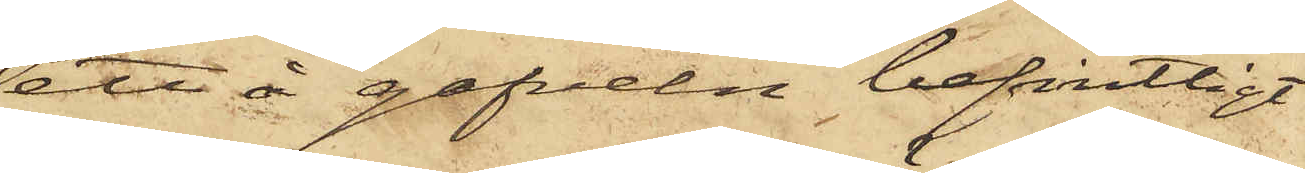ett å gafveln befintligt
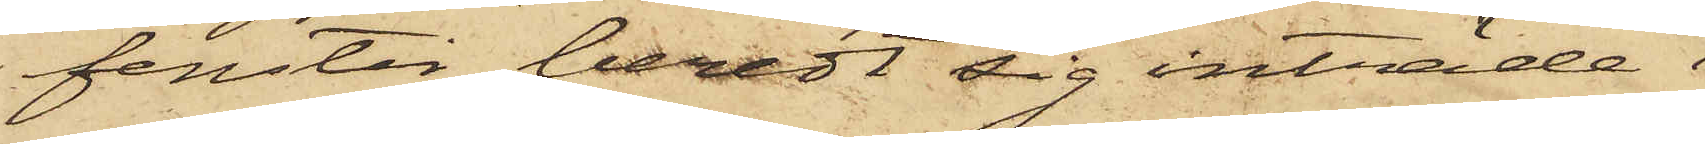fenster beredt sig inträde i
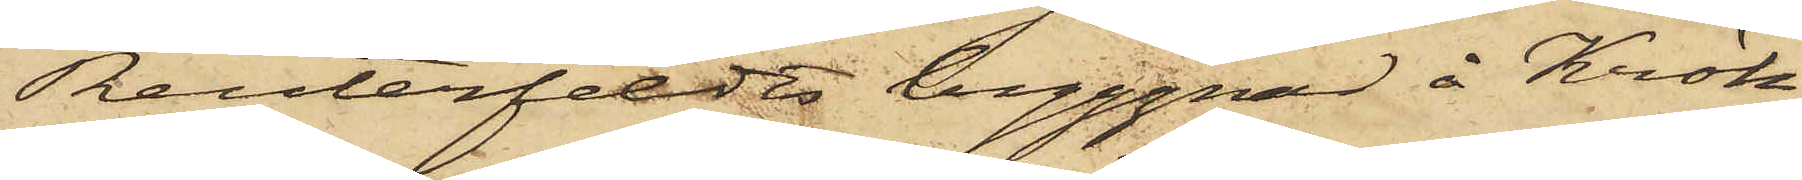Reuterfeldts byggnad å Krök¬
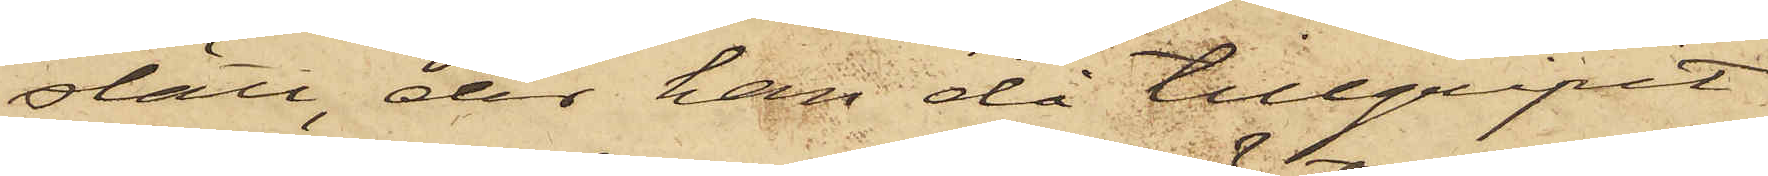slätt, der han då tillgripit
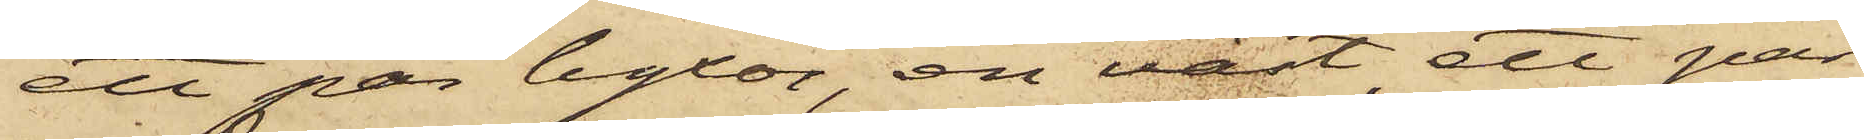ett par byxor, en väst, ett par
